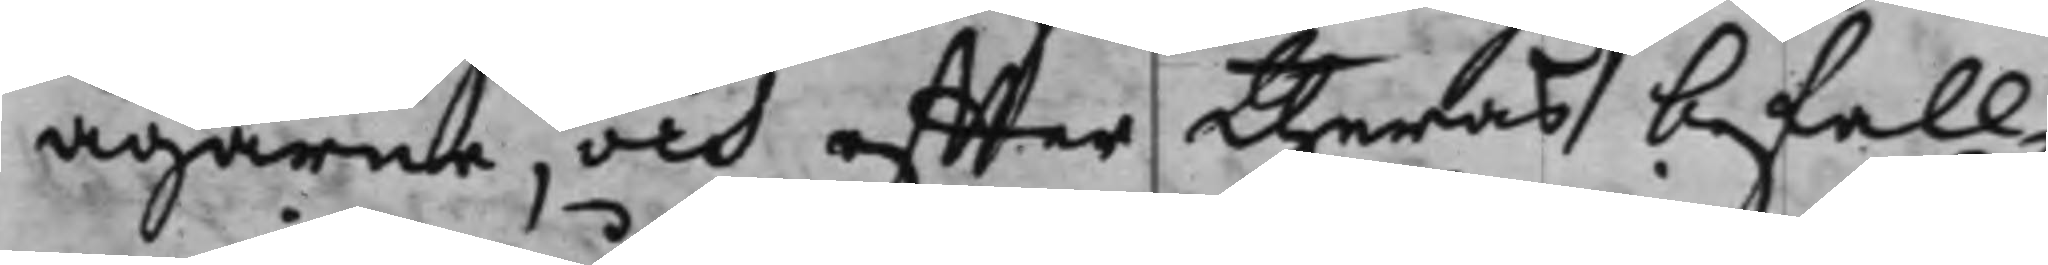ägarne, och effter theras befall¬
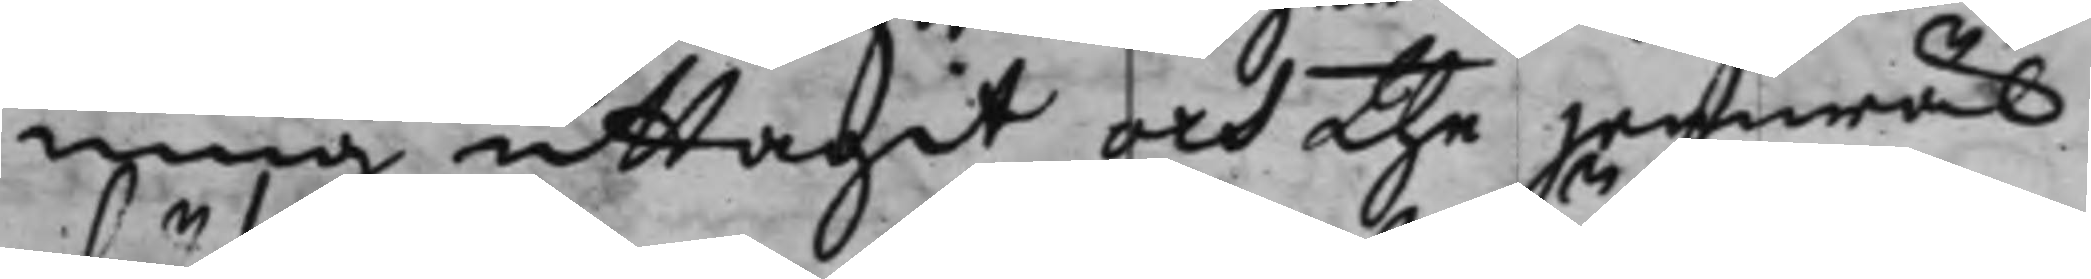ning uttagit och the jemwäl
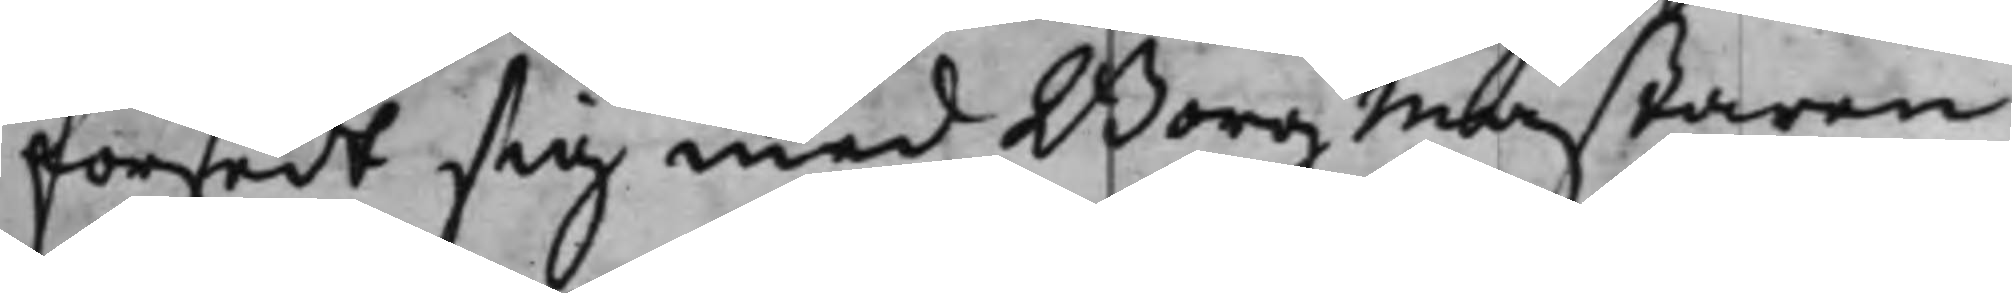försedt sig med Borgmästaren
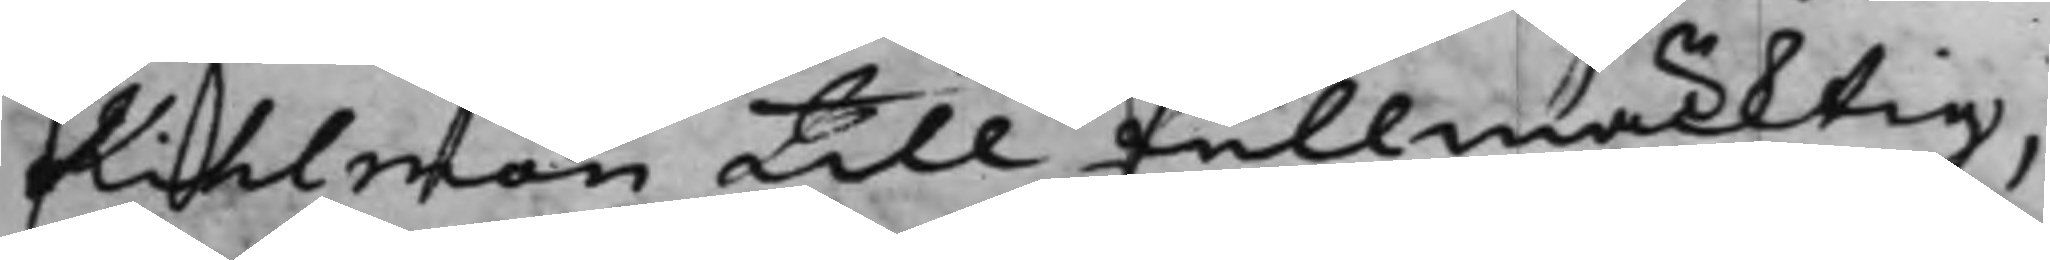Kihlman till fullmäcktig,
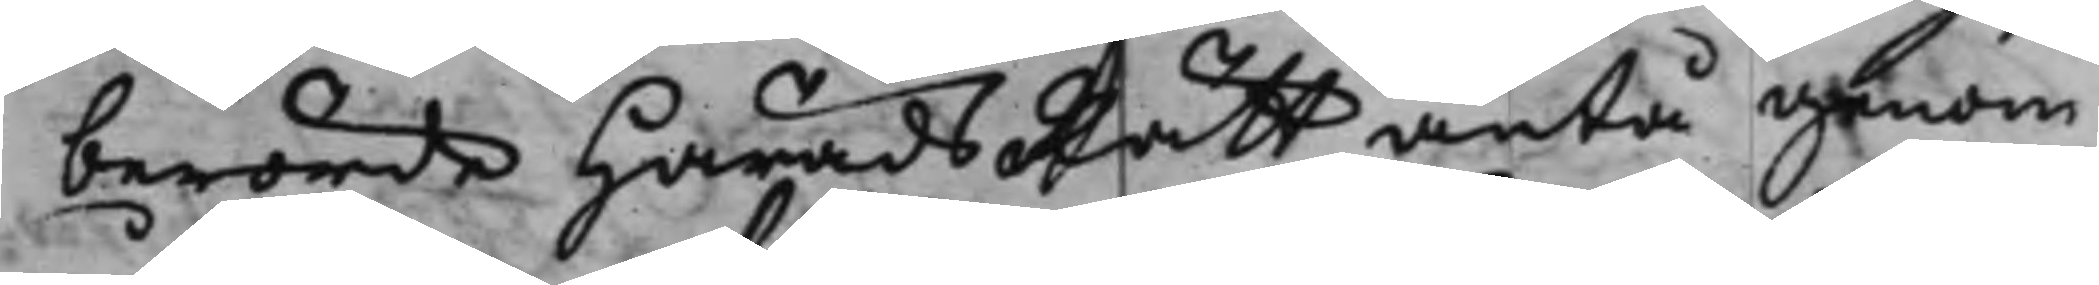berörde HäradsRätt äntå genom
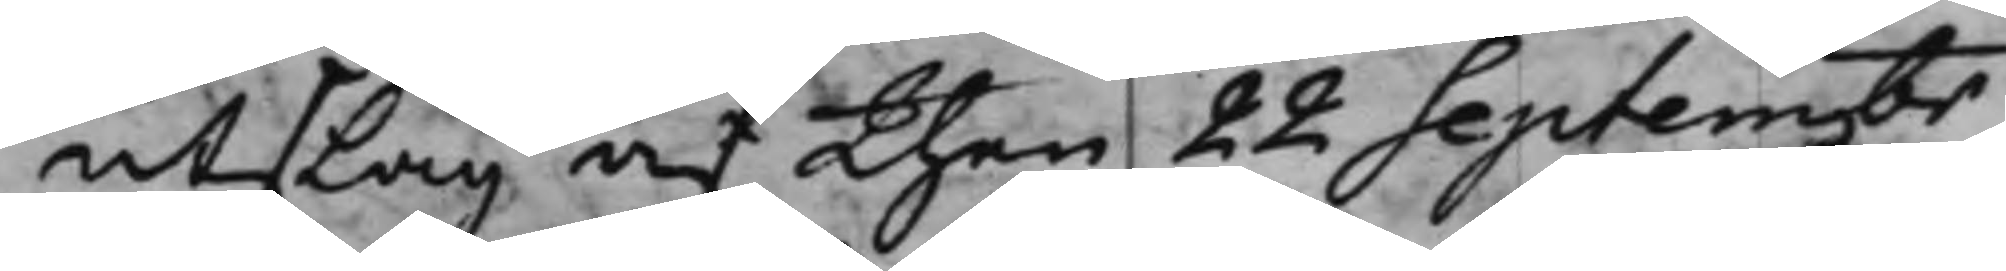utslag af then 22 Septembr
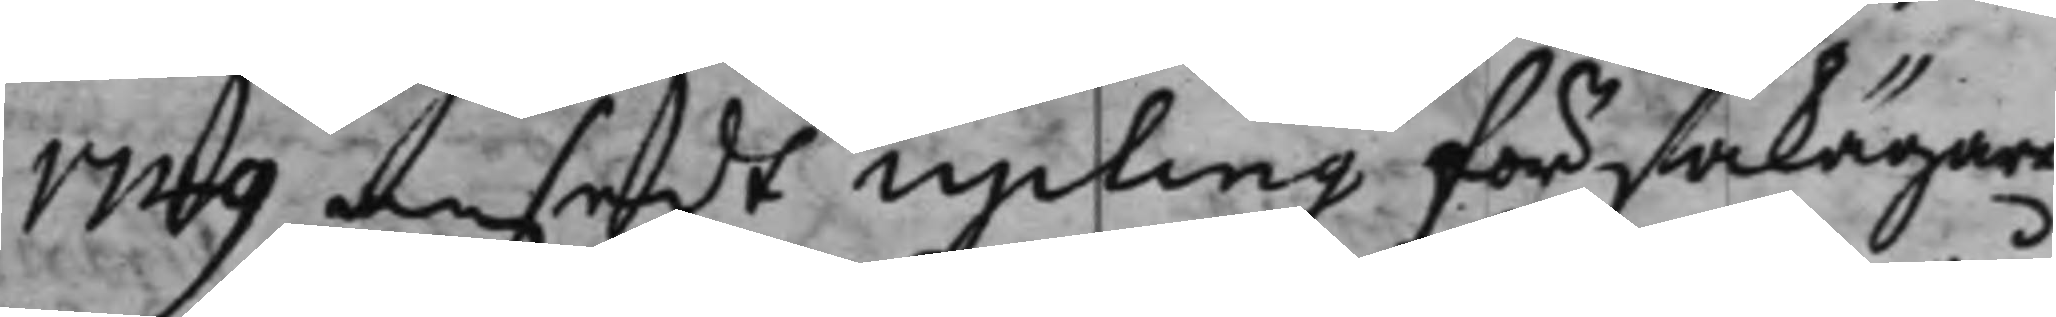1749 ansedt Upling för sakägare
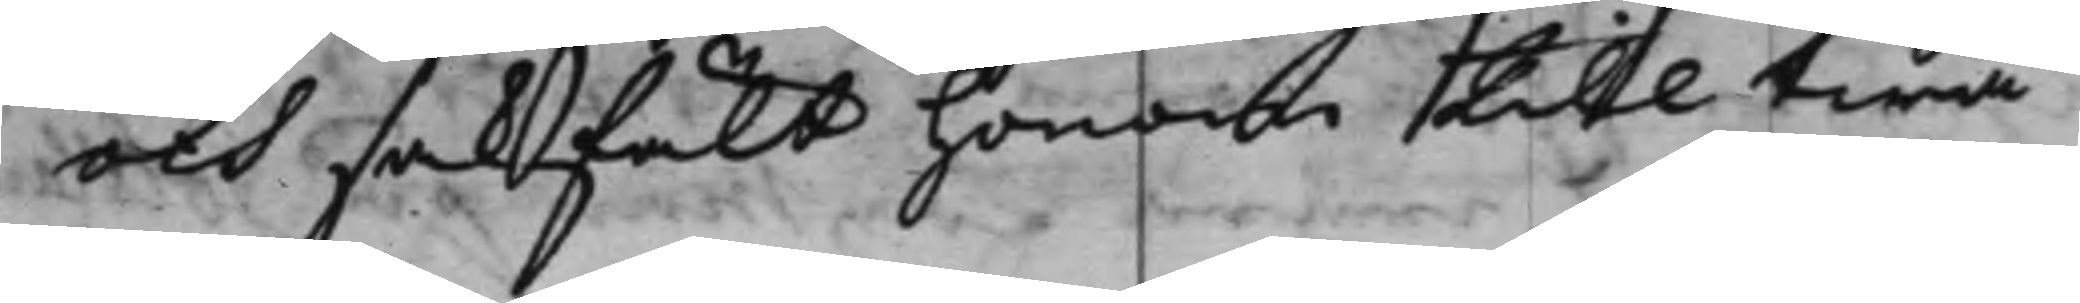och sakfält honom till twå
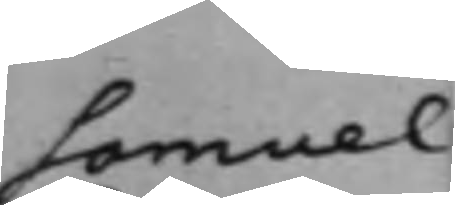Samuel
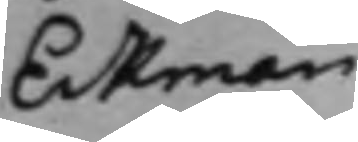Eckman
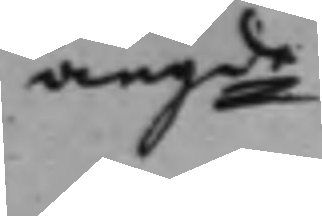angde
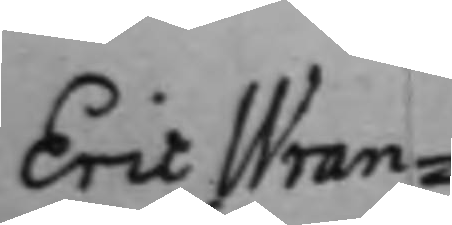Eric Wran¬
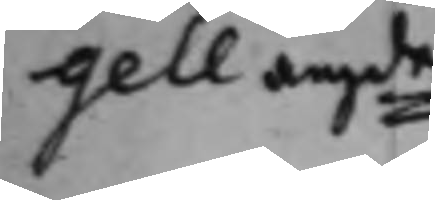gell angde
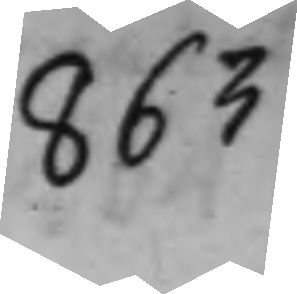863
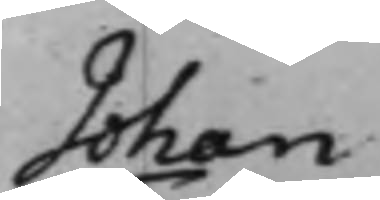Johan
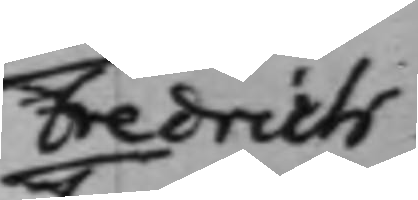Fredrich
